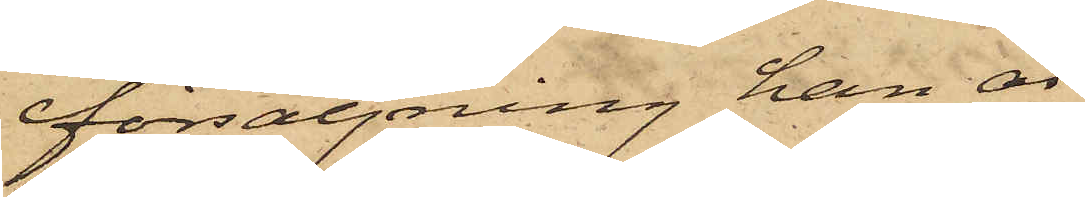försäljning han är
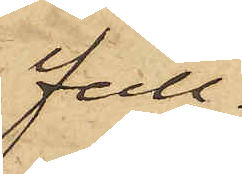full¬
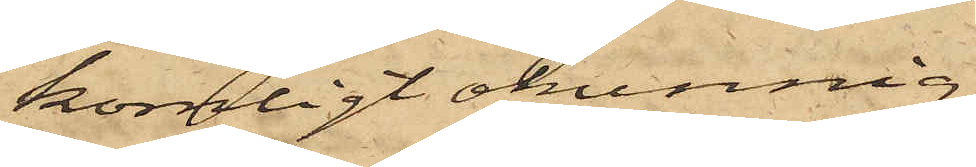komligt okunnig.
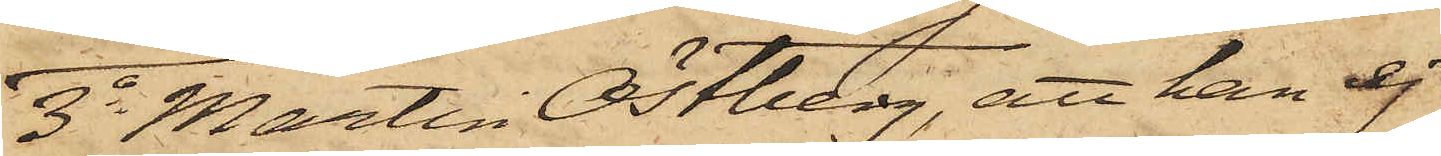3o Martin Östberg, att han ej
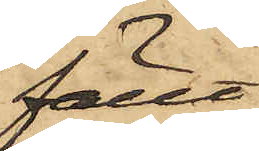fällt
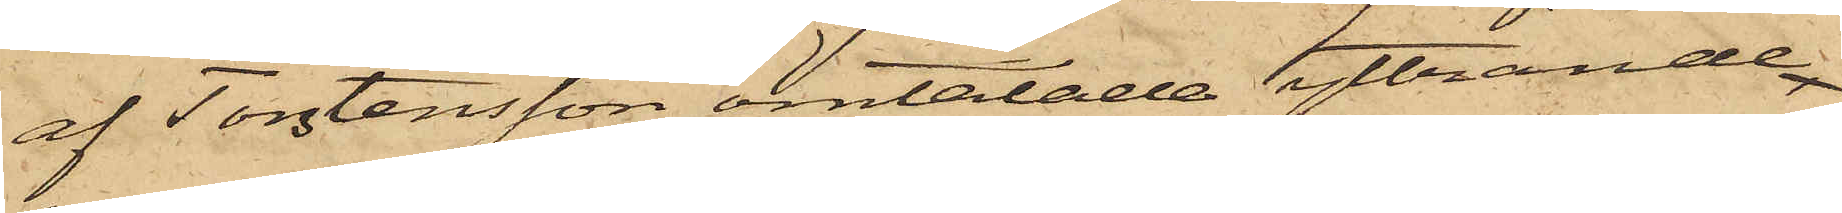af Torstensson omtalade yttrande
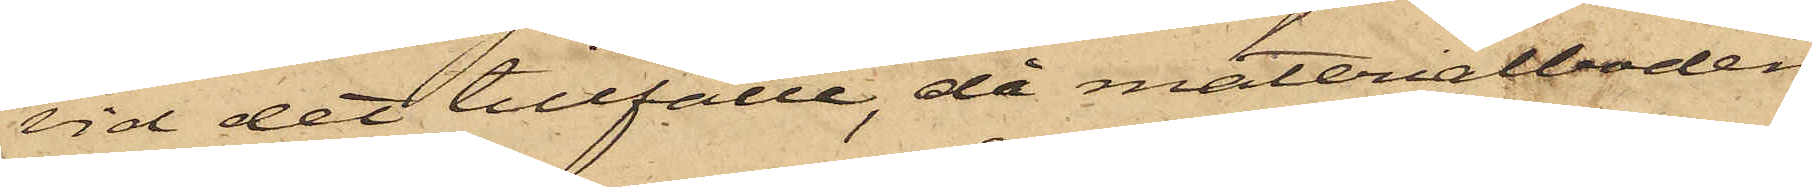vid det tillfälle, då materialboden
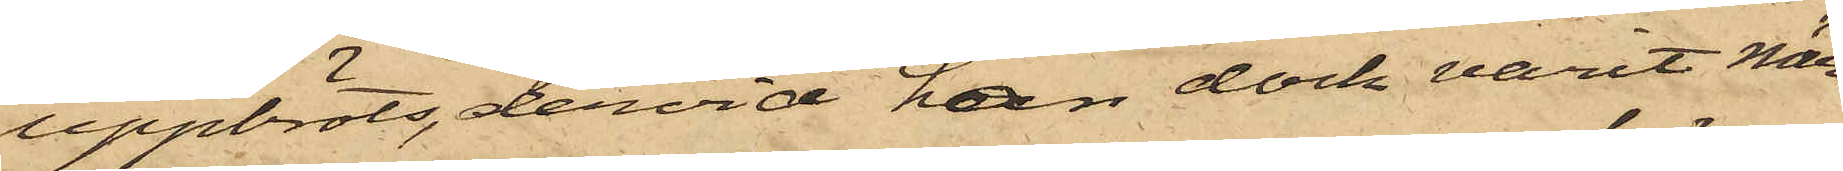uppbröts, dervid han dock varit när¬
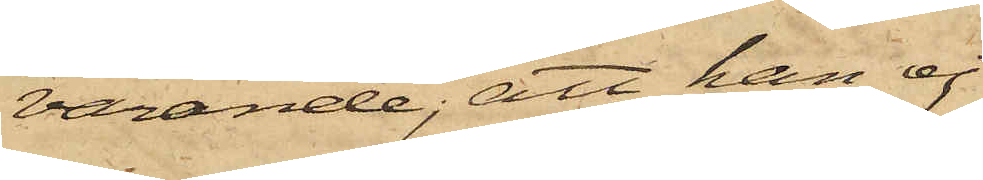varande; att han ej
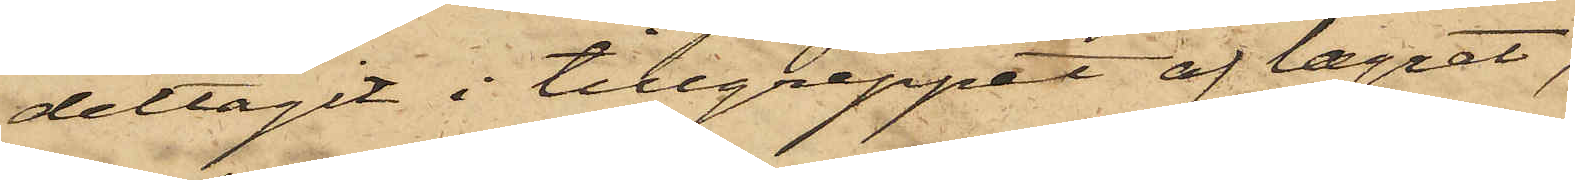deltagit i tillgreppet af lagret,
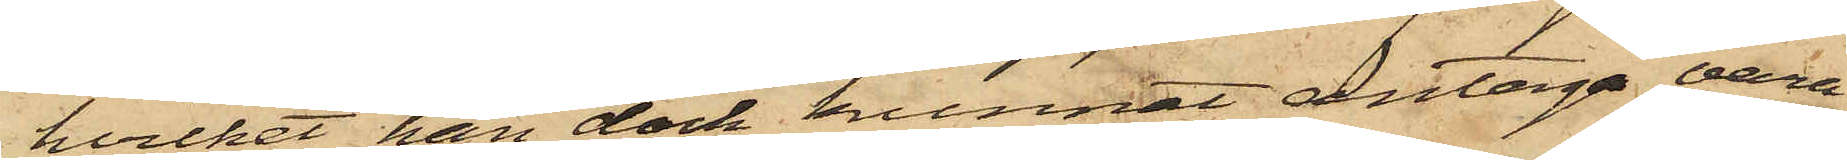hvilket han dock kunnat antaga vara
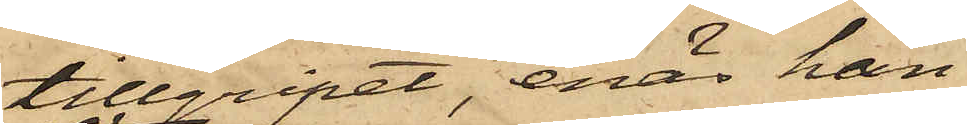tillgripet, enär han
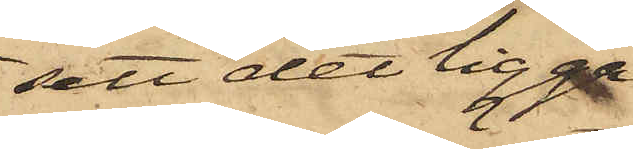sett det ligga
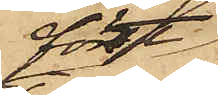först
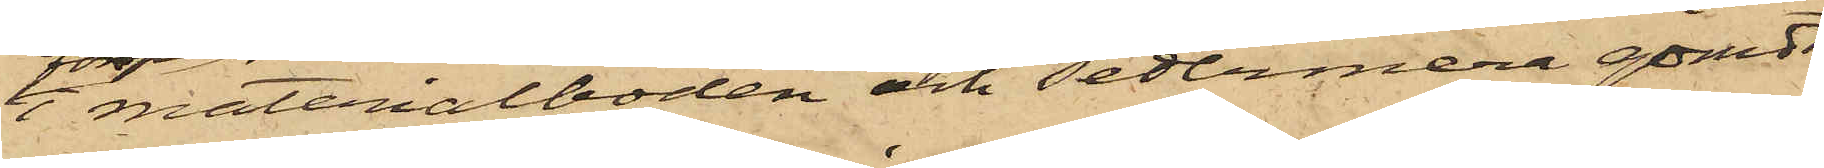 i materialboden och sedermera gömdt
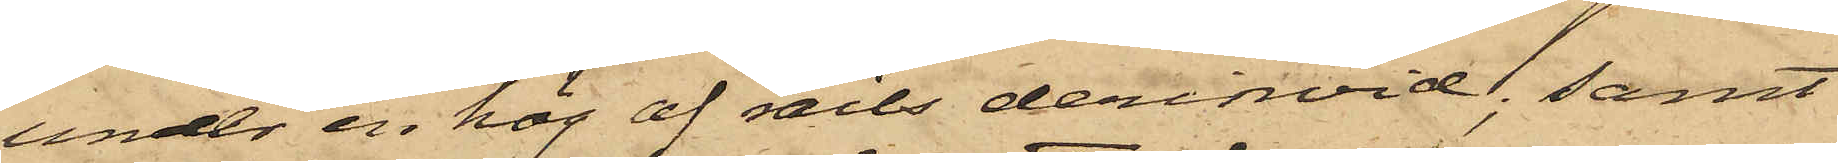under en hög af rails derinvid; samt
